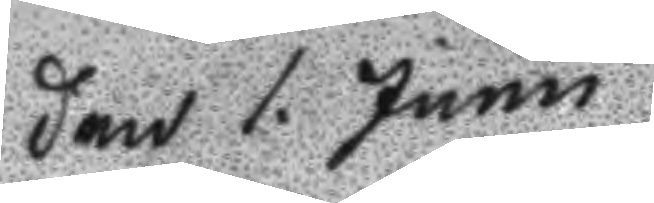Den 1. Junu
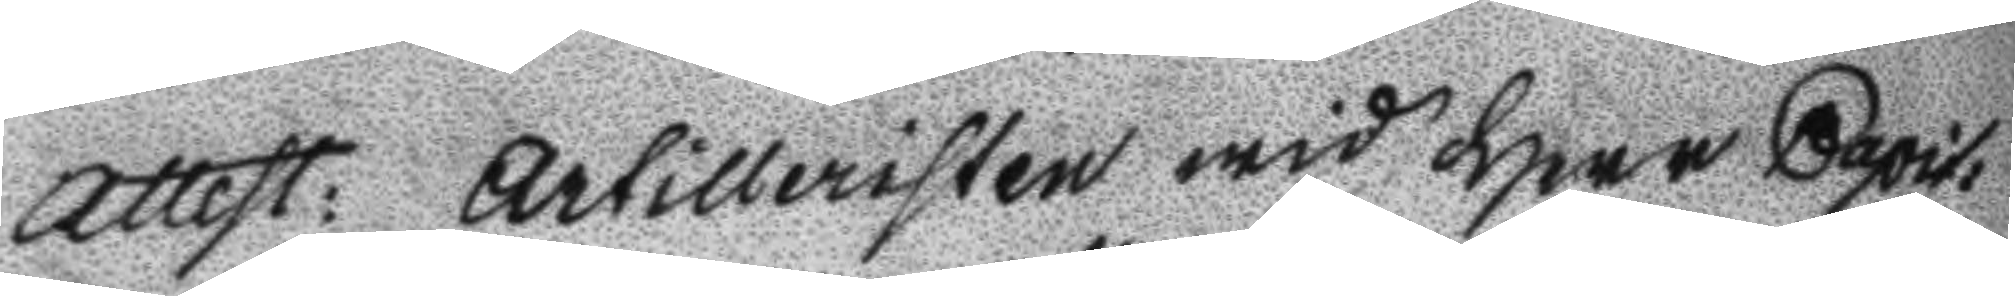Attest: Artilleristen wid Herr Capit:
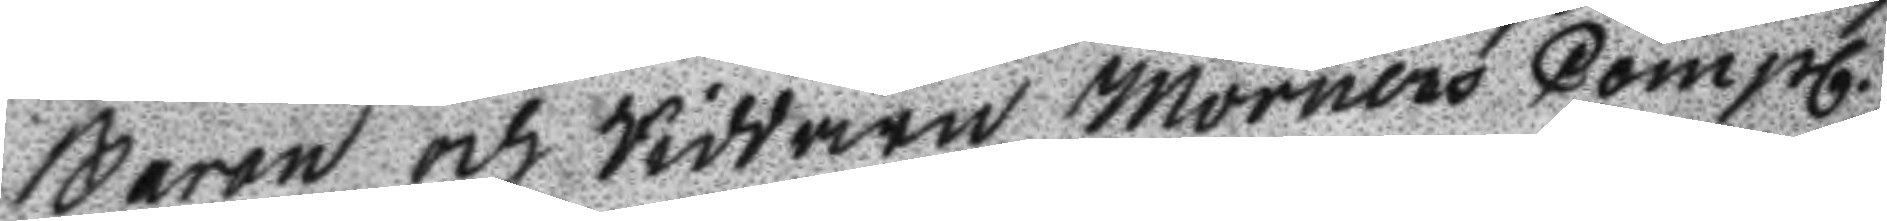baron och Riddaren Mörners Compl.
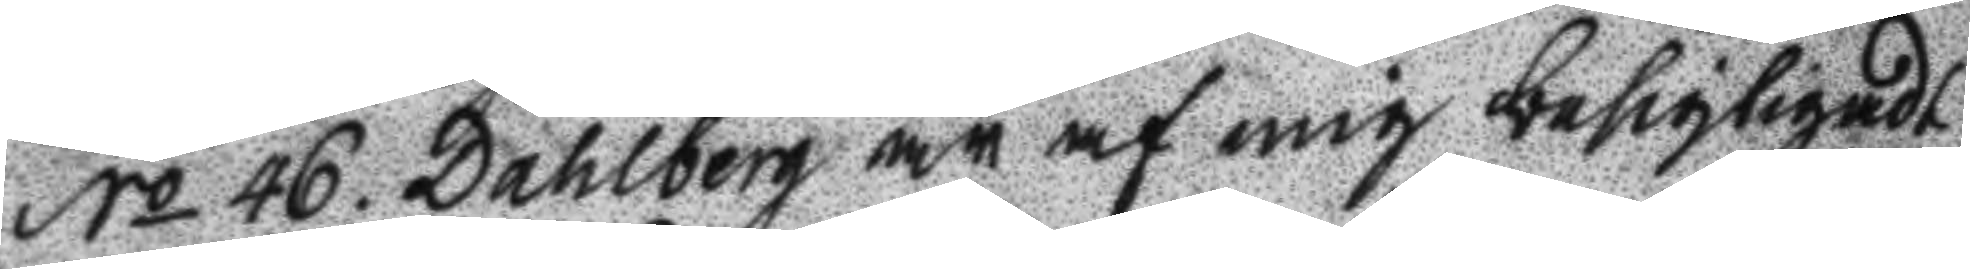No 46. Dahlberg är af mig besigtigadt
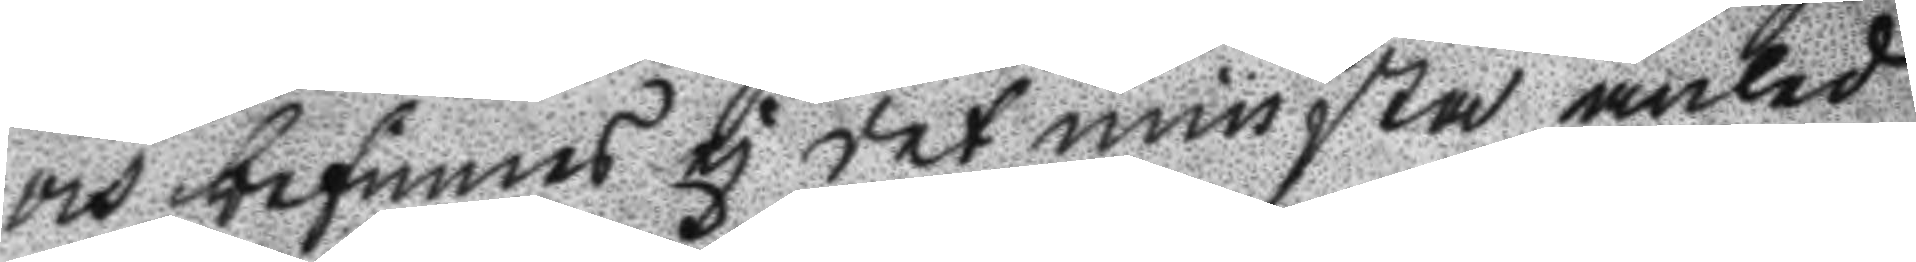och befunnes ej det minsta anled
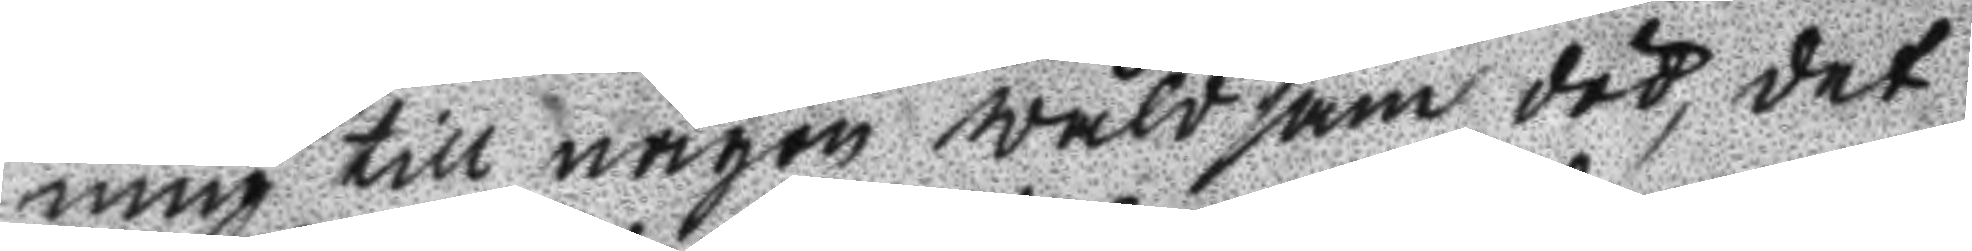ning till någon wåldsam död, det
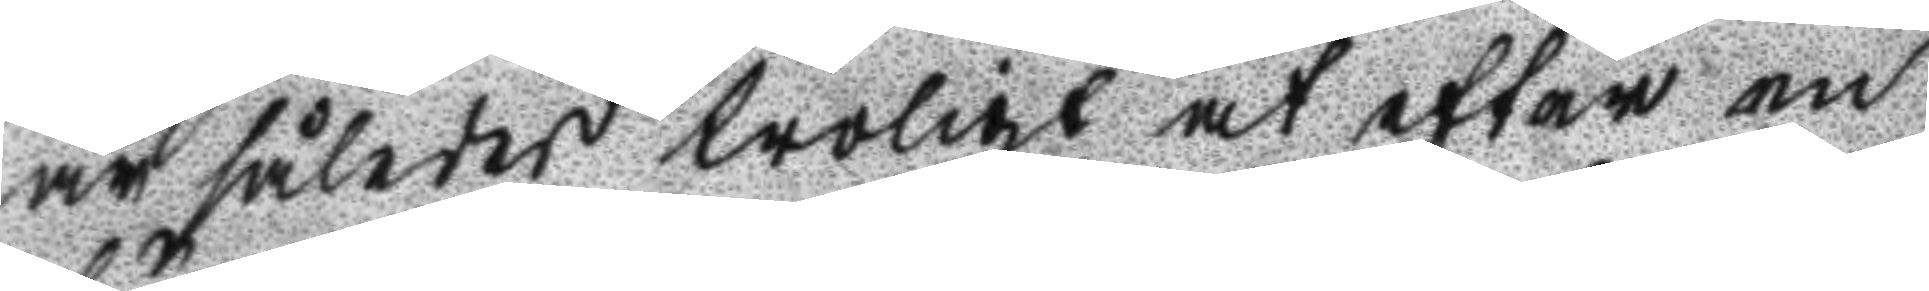är således troligt at efter en
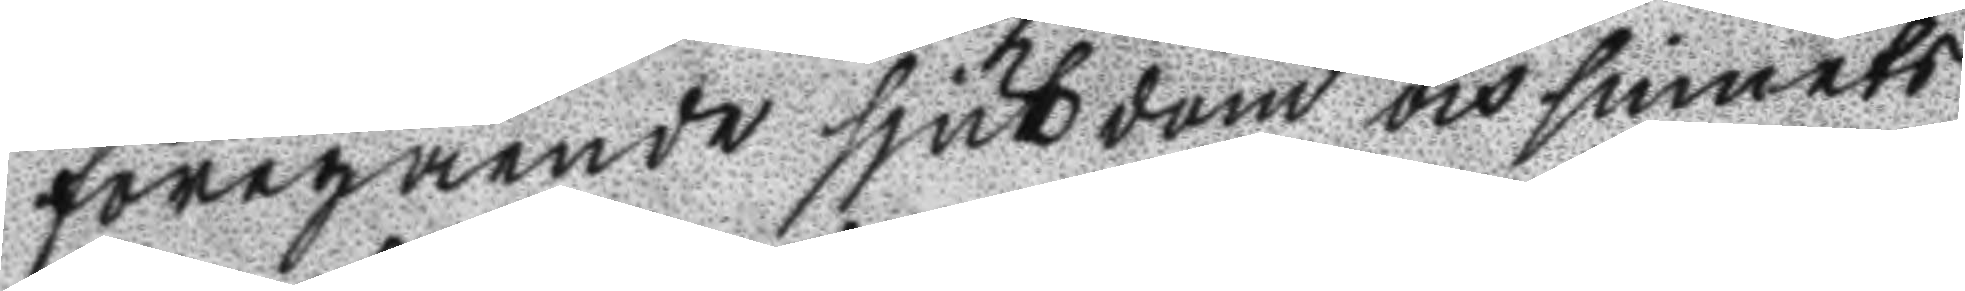föregående sjukdom och sinnets
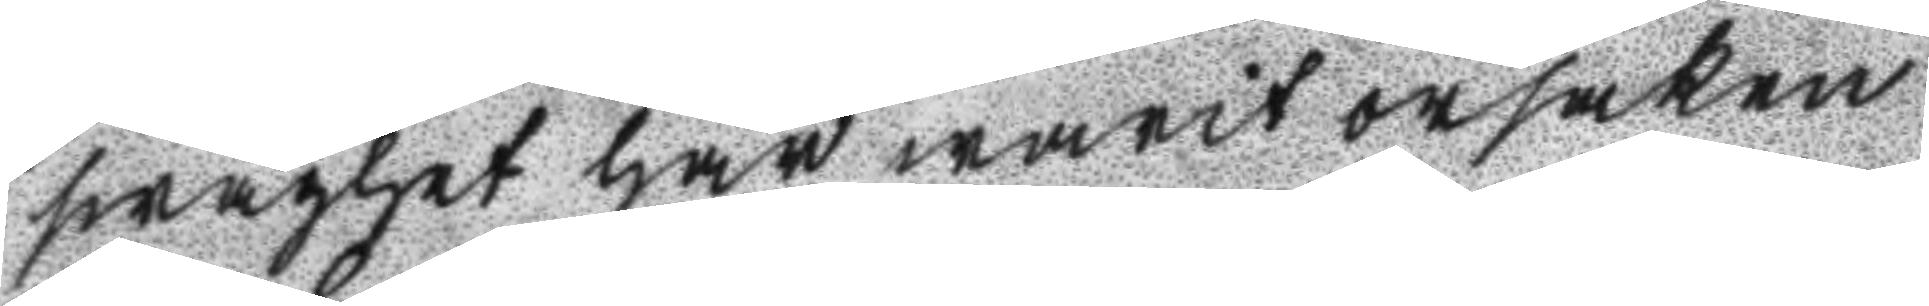swaghet har warit orsaken
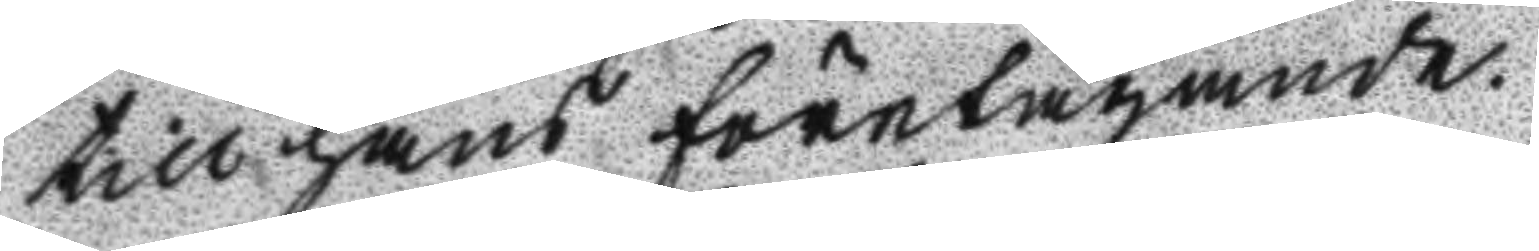till hans företagande.
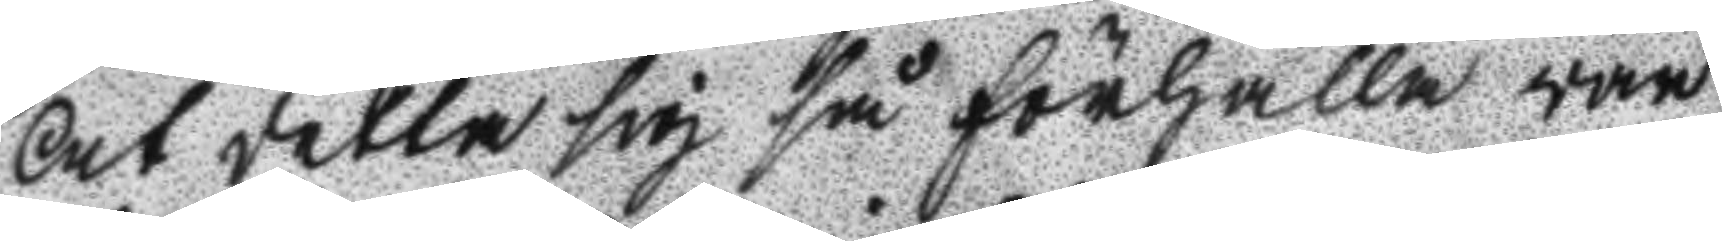At detta sig så förhålla war
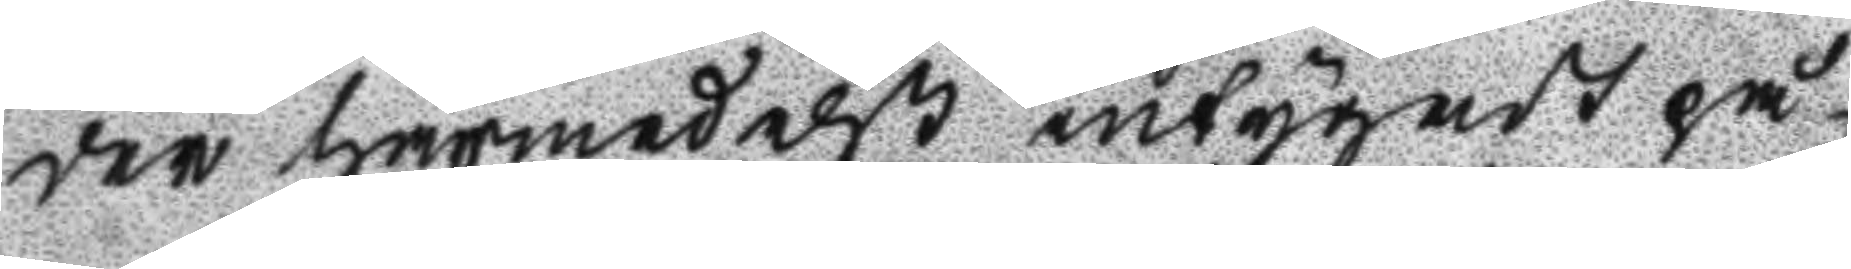der härmedelst intygadt på
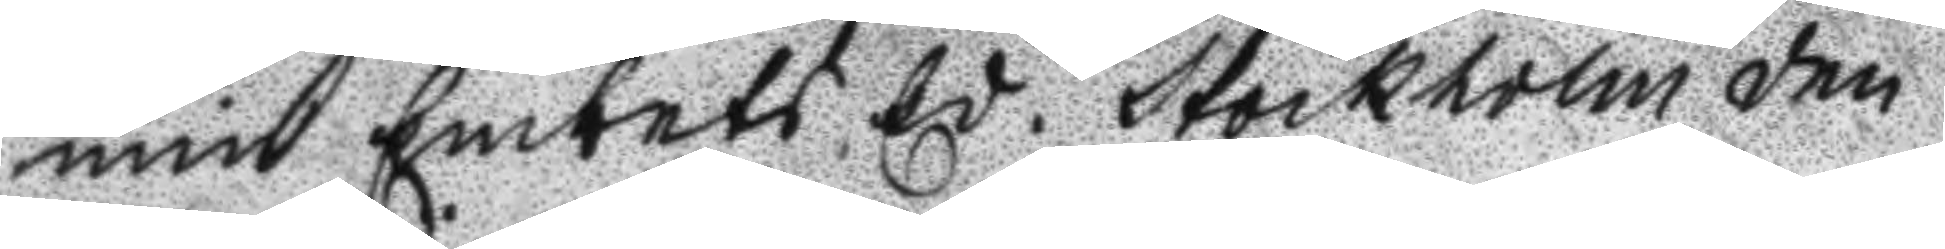min Embets Ed. Stockholm den
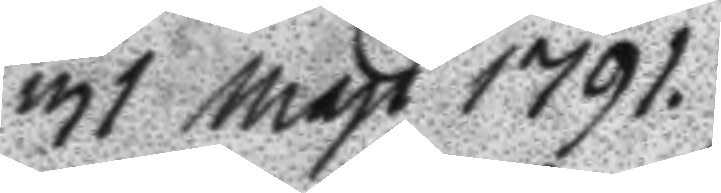31 Maji 1791.
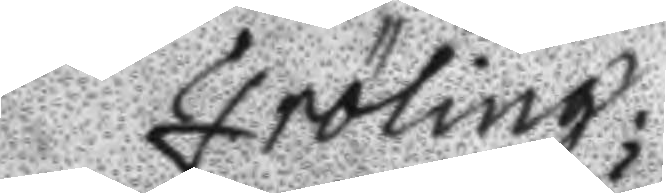Fröling;
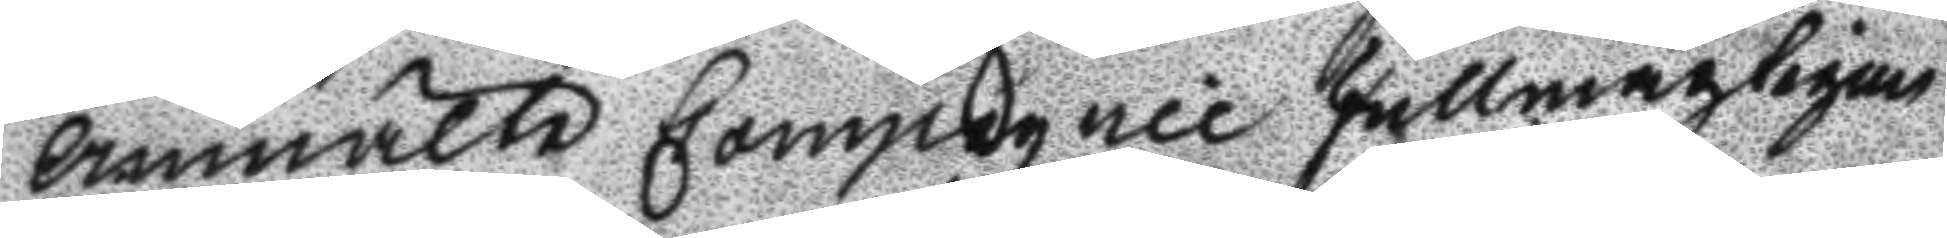Anmälte Compagnie Fullmägtigen
